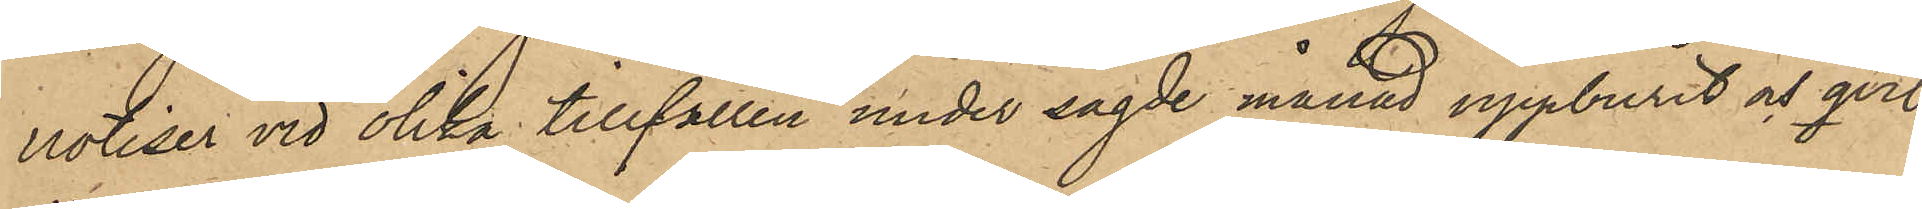notiser vid olika tillfällen under sagde månad uppburit och qvit¬
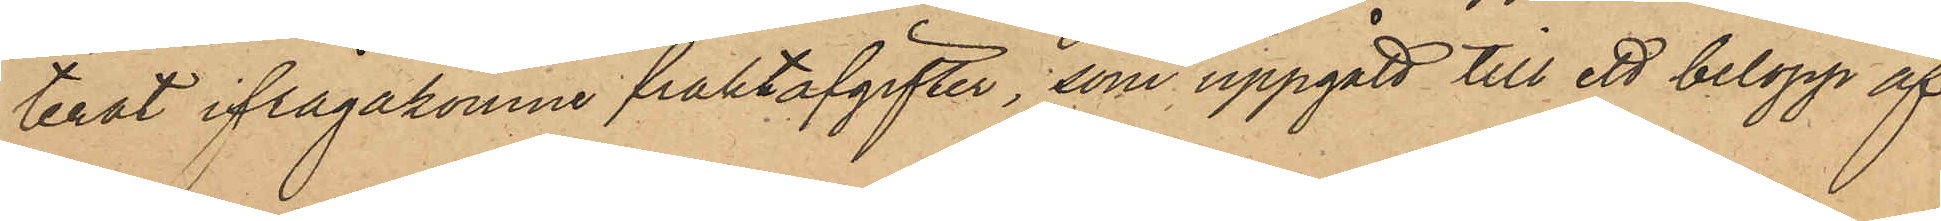terat ifrågakomne fraktavgifter, som uppgått till ett belopp af
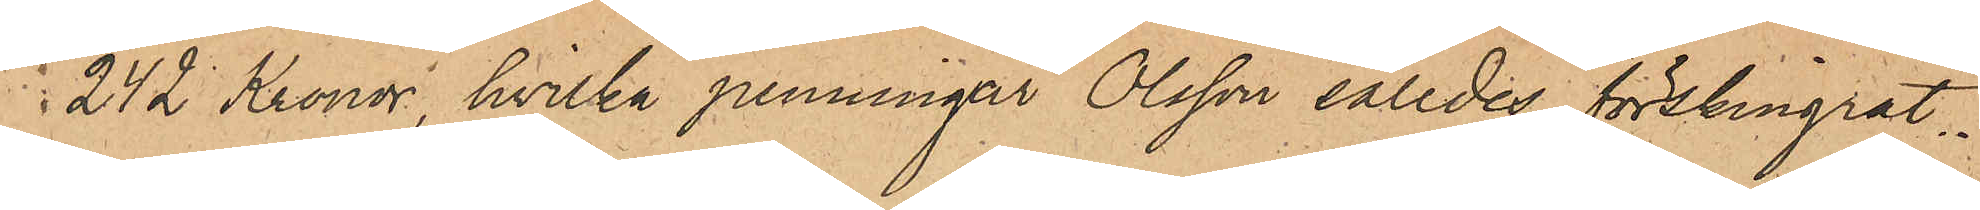242 Kronor, hvilka penningar Olsson således förskingrat.
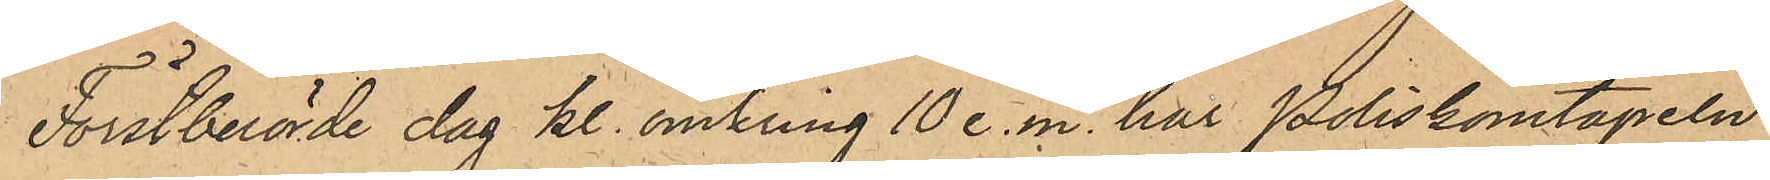Förstberörde dag kl. omkring 10 e. m. har Poliskonstapeln
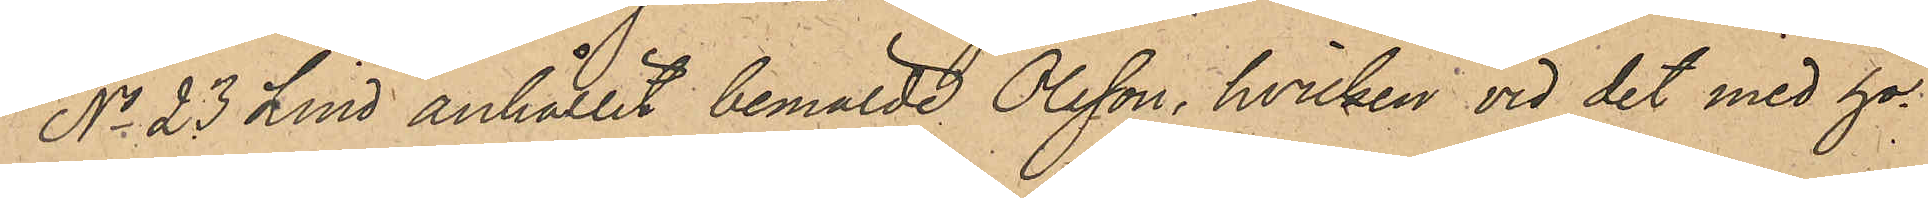No 23 Lind anhållit bemälde Olsson, hvilken vid det med ho¬
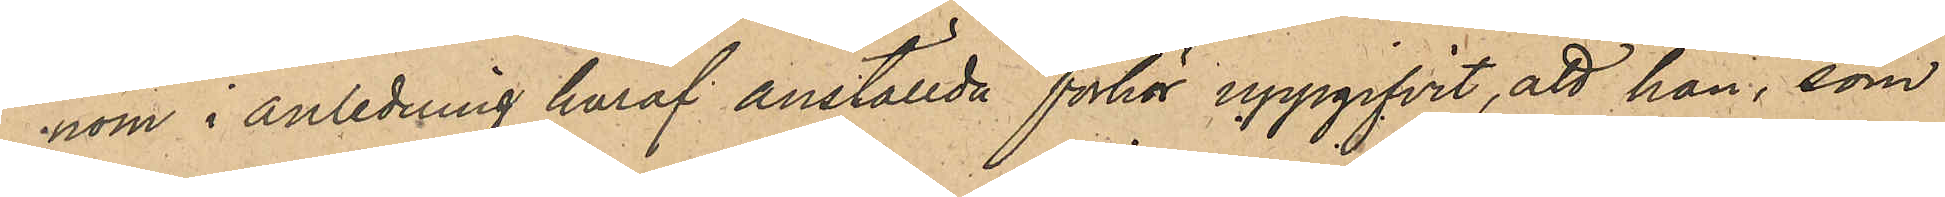nom i anledning häraf anställda förhör uppgifvit, att han, som
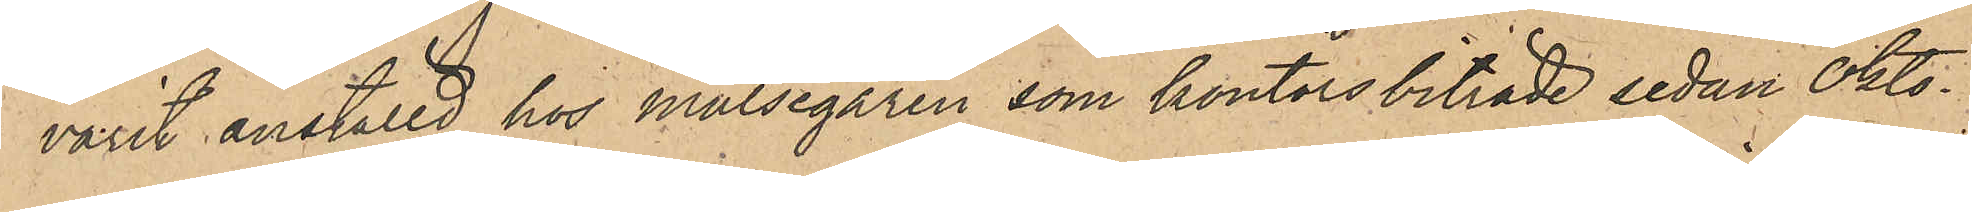varit anställd hos målsegaren som kontorsbiträde sedan Okto¬
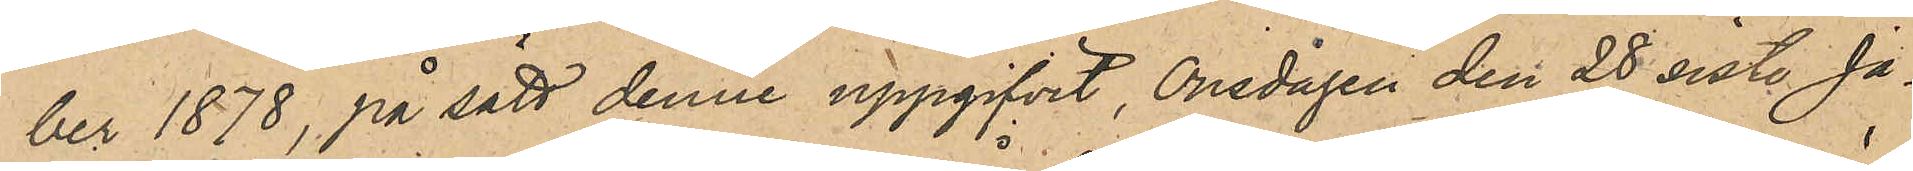ber 1878, på sätt denne uppgifvit, Onsdagen den 28 sist. Ja¬
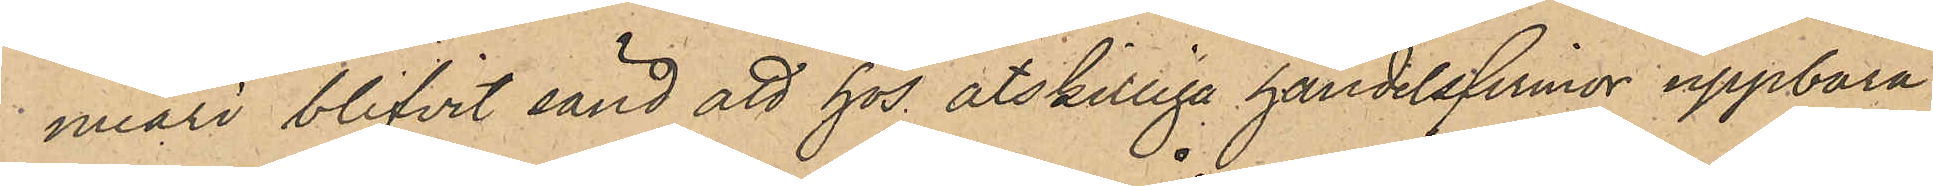nuari blifvit sänd att hos åtskillige handelsfirmor uppbära
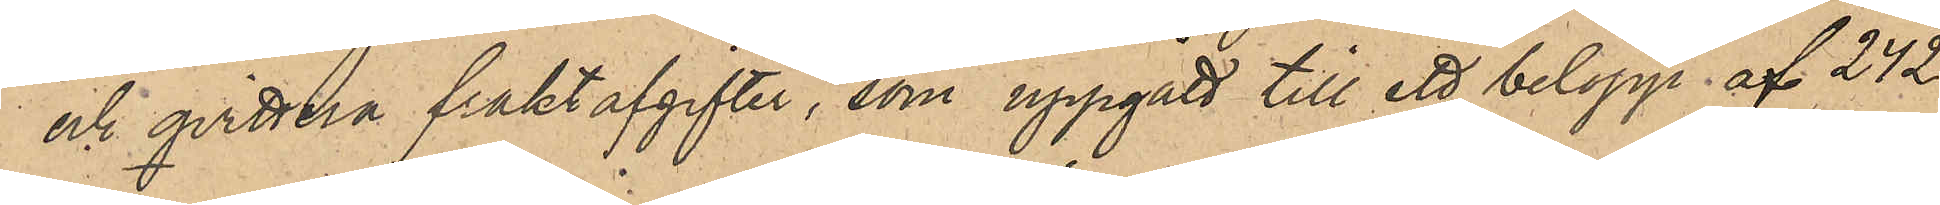och qvittera fraktavgifter, som uppgått till ett belopp af 242
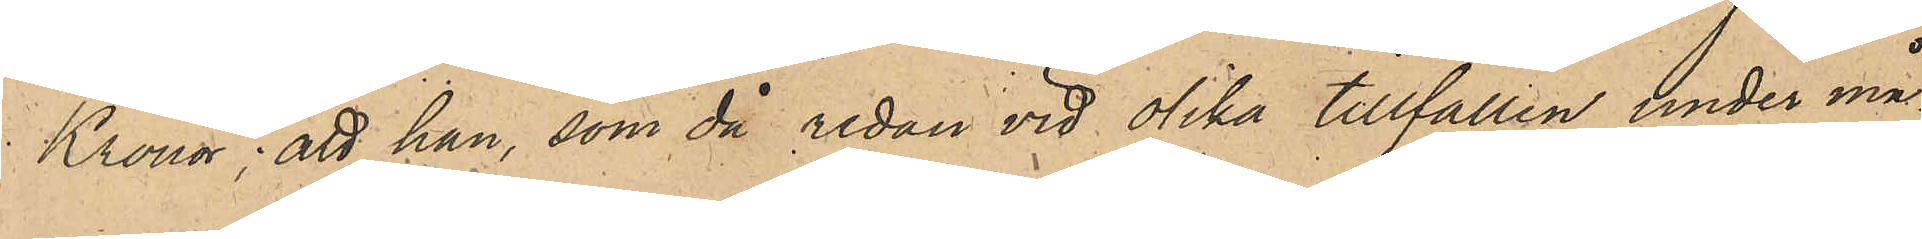Kronor; att han, som då redan vid olika tillfällen under må¬
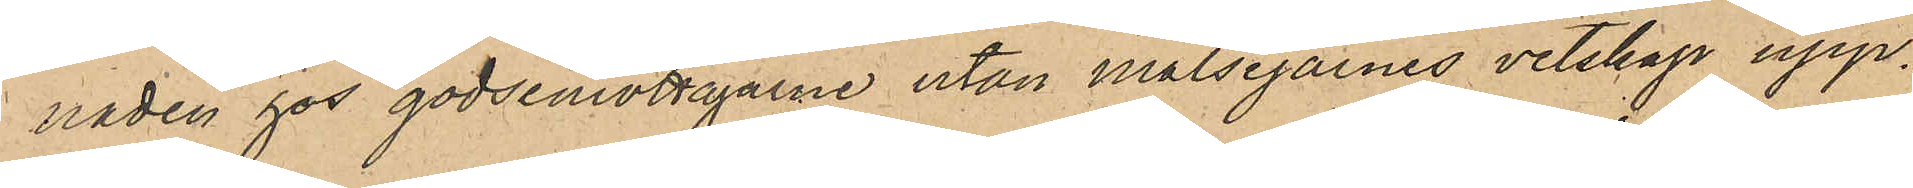naden hos godsemottagarne utan målsegarnes vetskap upp¬
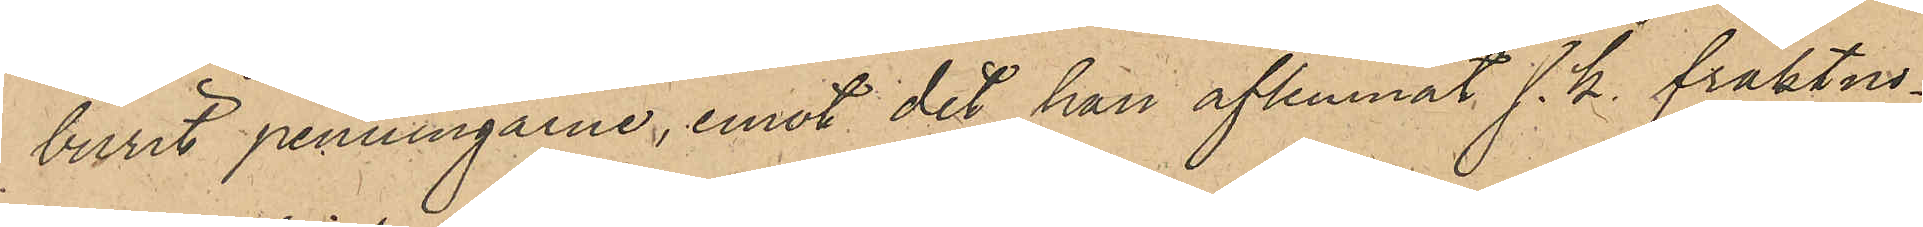burit penningarne, emot det han aflemnat s.k. fraktno¬
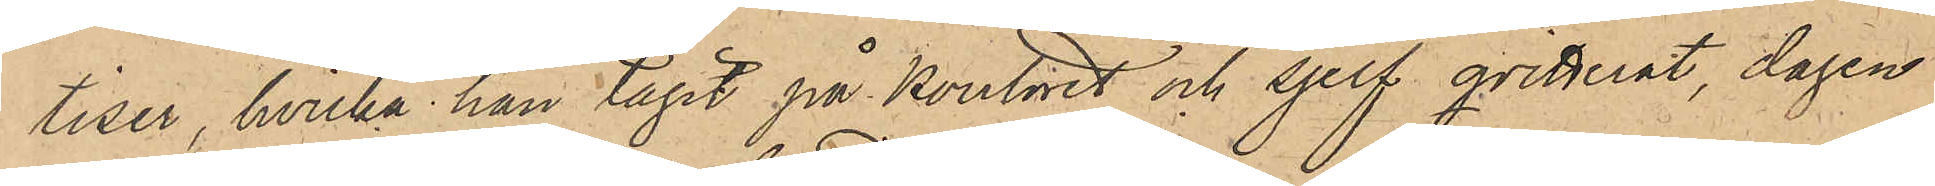tiser, hvilka han tagit på kontoret och sjelf qvitterat, dagen
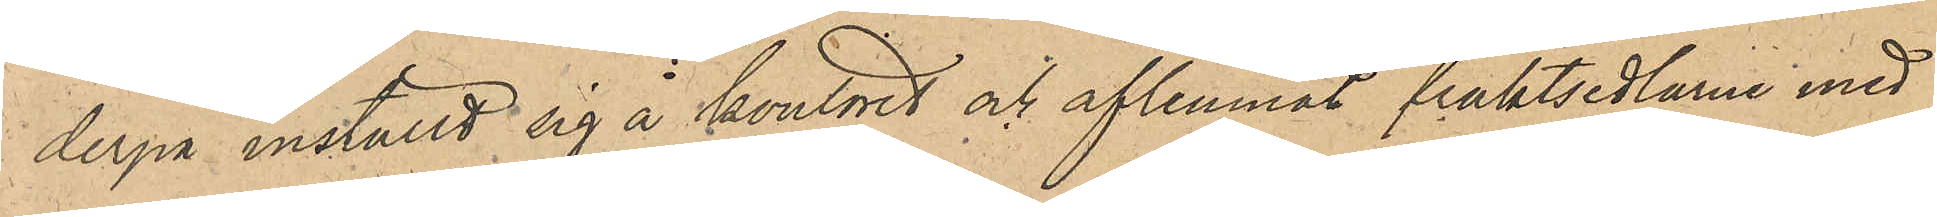derpå inställt sig å kontoret och aflemnat fraktsedlarne med
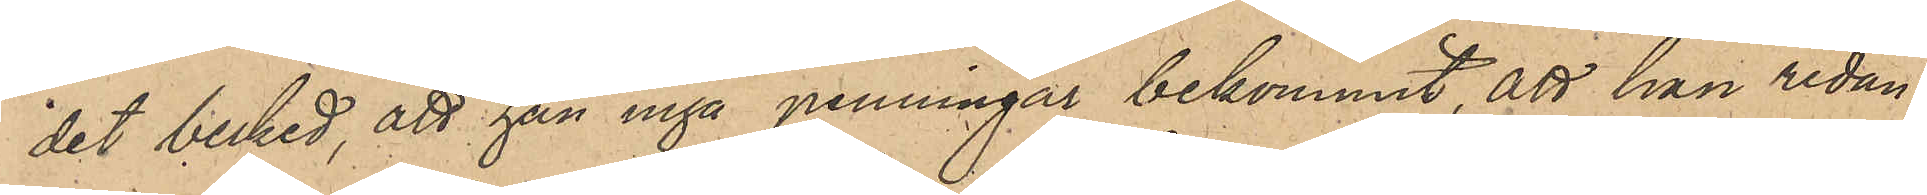det besked, att han inga penningar bekommit, att han redan
